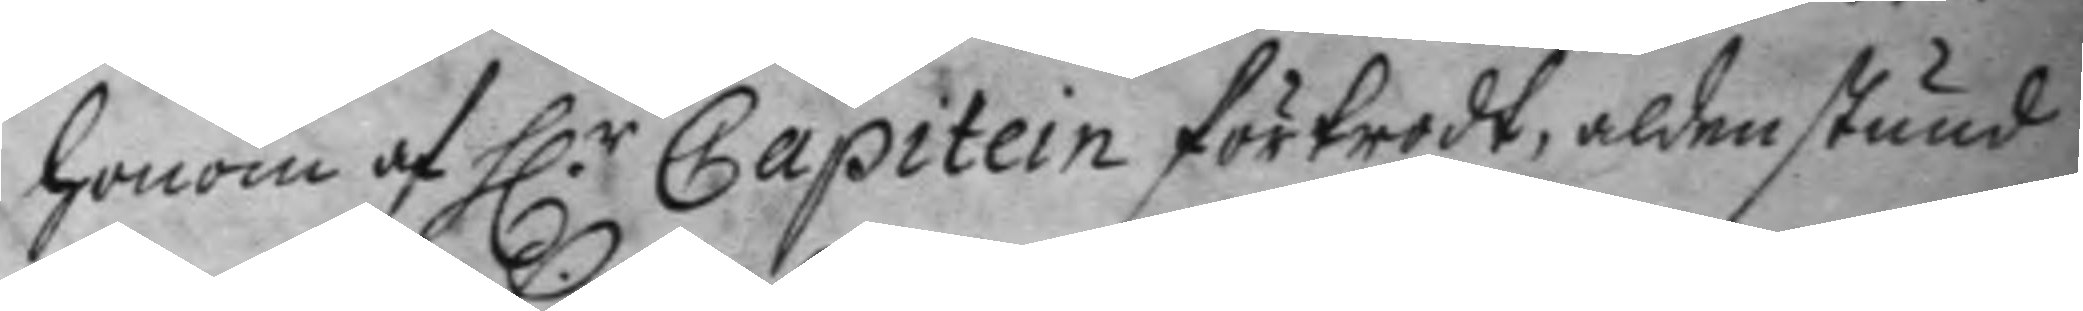honom af H.r Capitein förtrodt, aldenstund
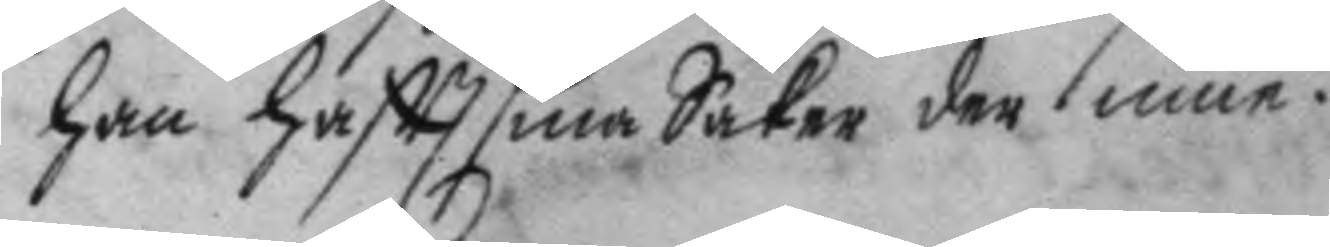han haftt sina Saker der inne.
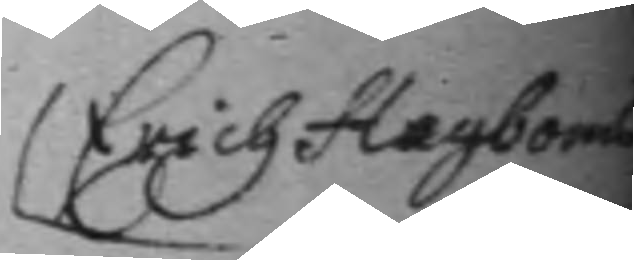Erich Hagboms
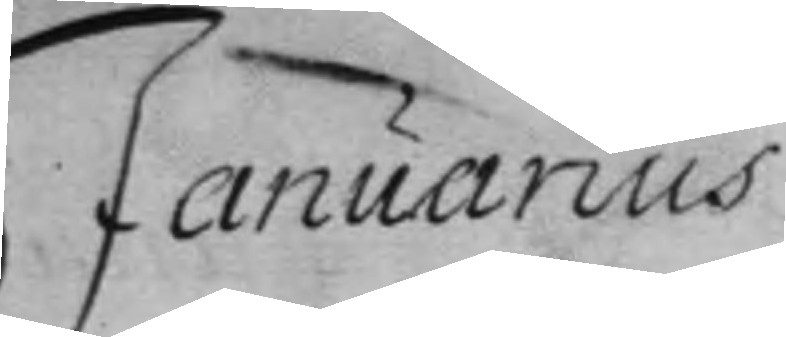Januarius
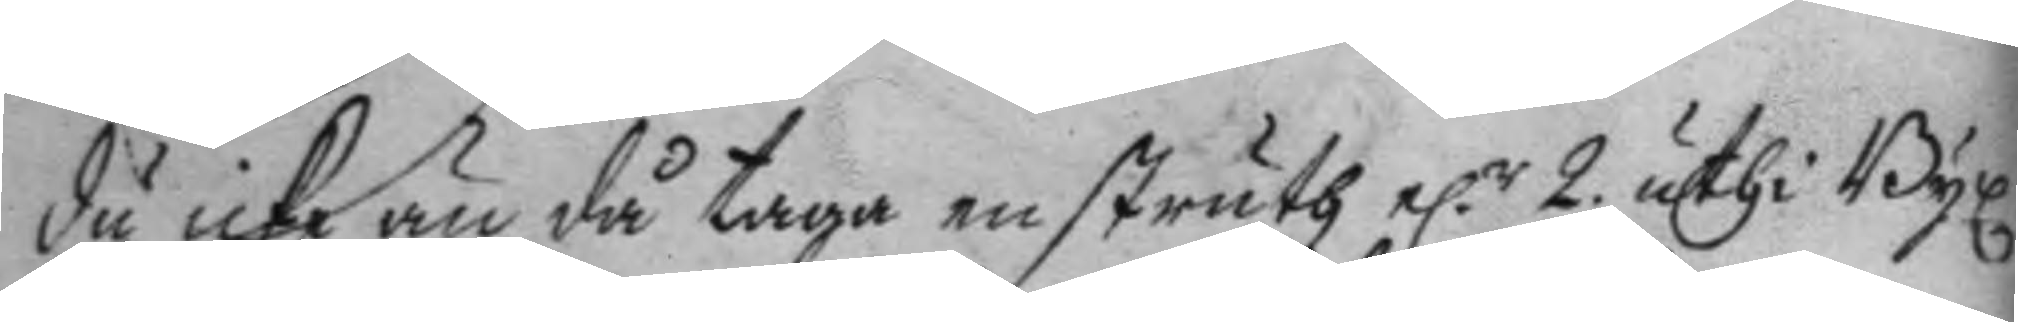du icke än då taga en struth el.r 2 uthi Byx¬
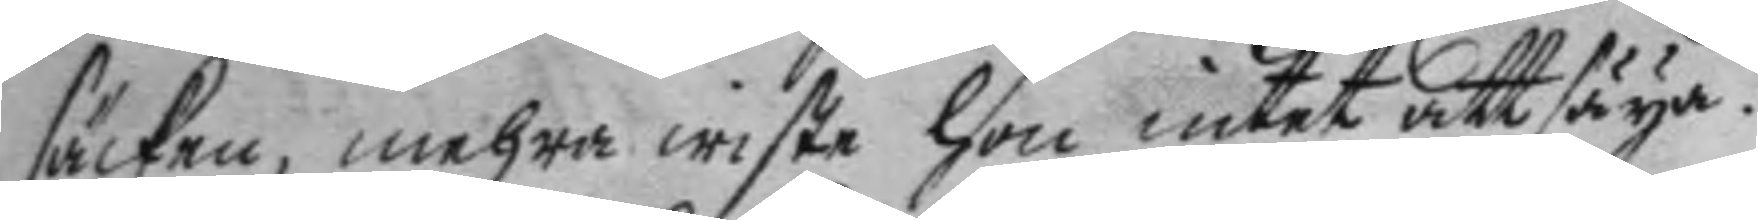säcken, mehra wiste hon intet att säya.
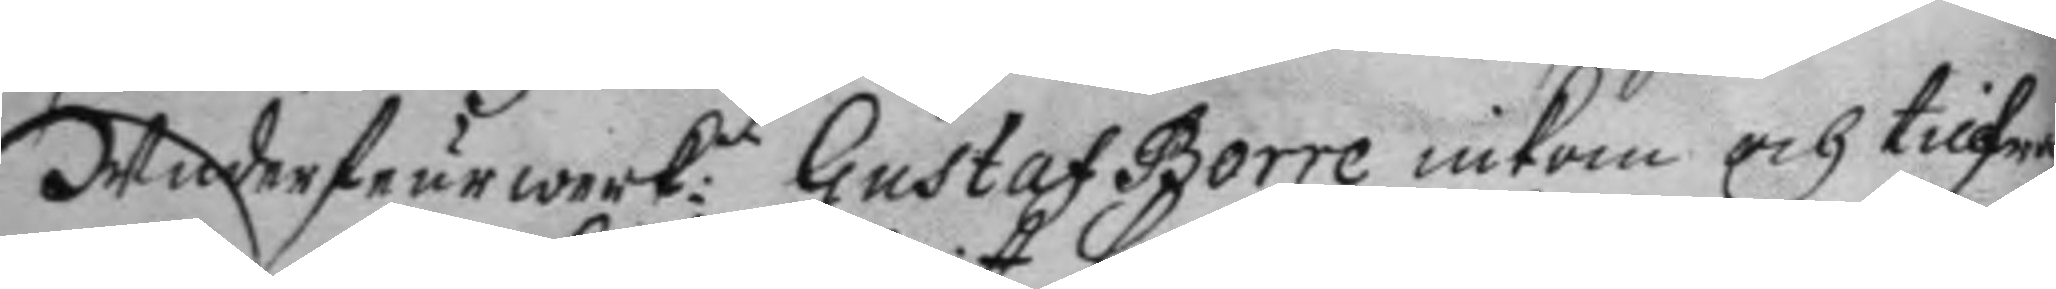Underdeurwerk:n Gustaf Borre inkom och tillfrå¬
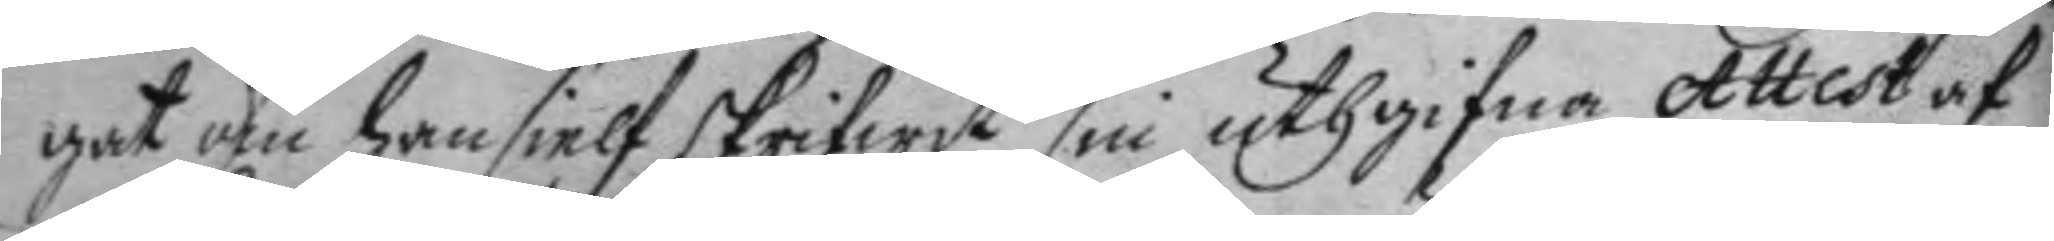gat om han sielf skrifwit sin uthgifne Attest af
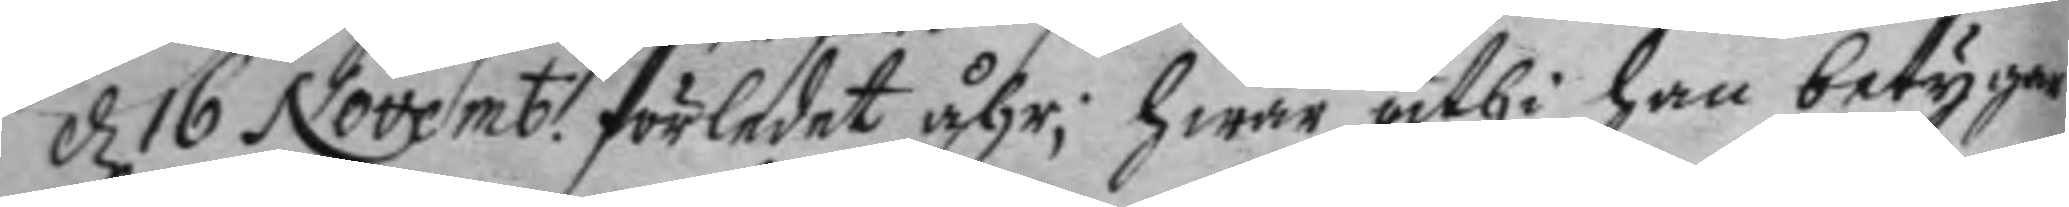d 16 Novemb: förledet åhr; hwar uthi han betygar
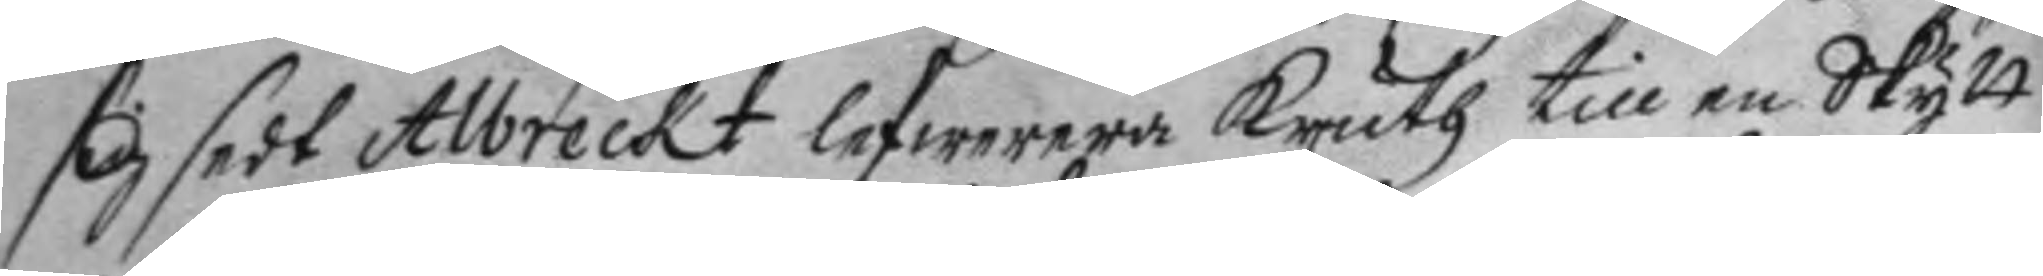sig sedt Albreckt lefwerera kruth till en Skytt
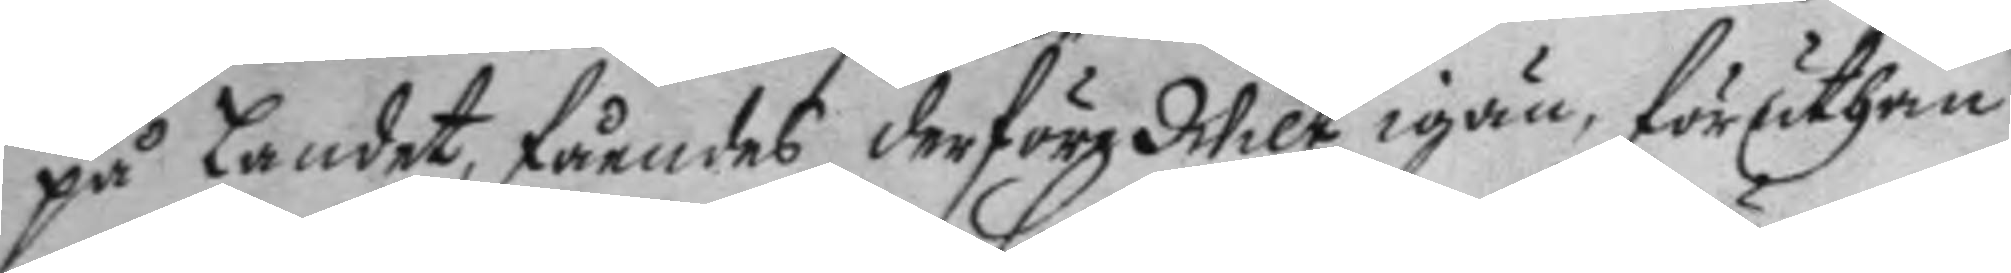på Landet, fåendes derföre Wilt igän, föruthan
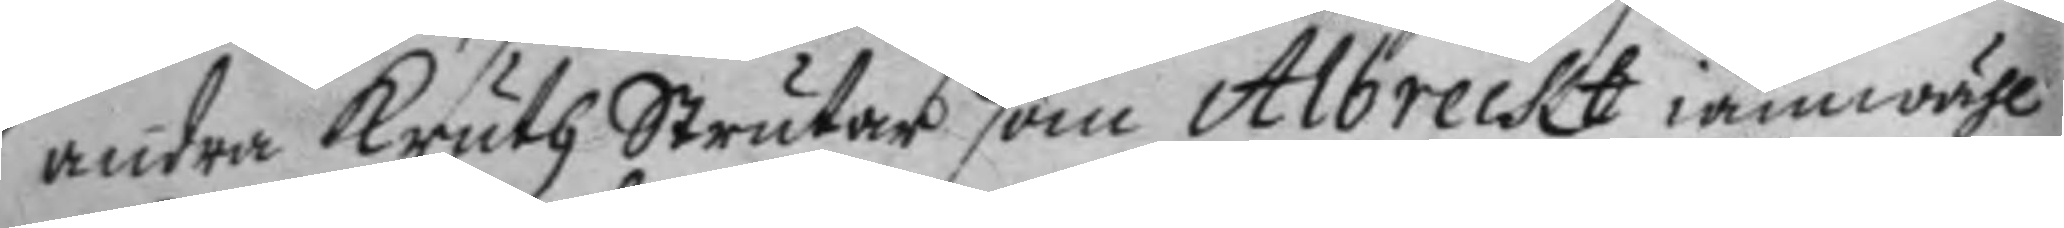andra kruth Strutar som Albreckt iämwähl
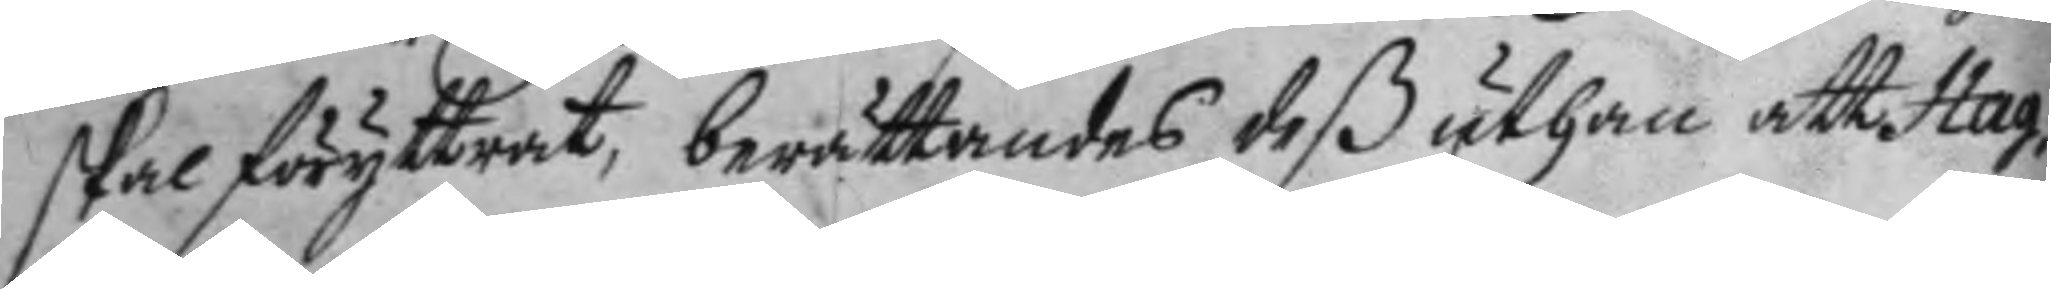skal föryttrar, berättandes deßuthan att Hag¬
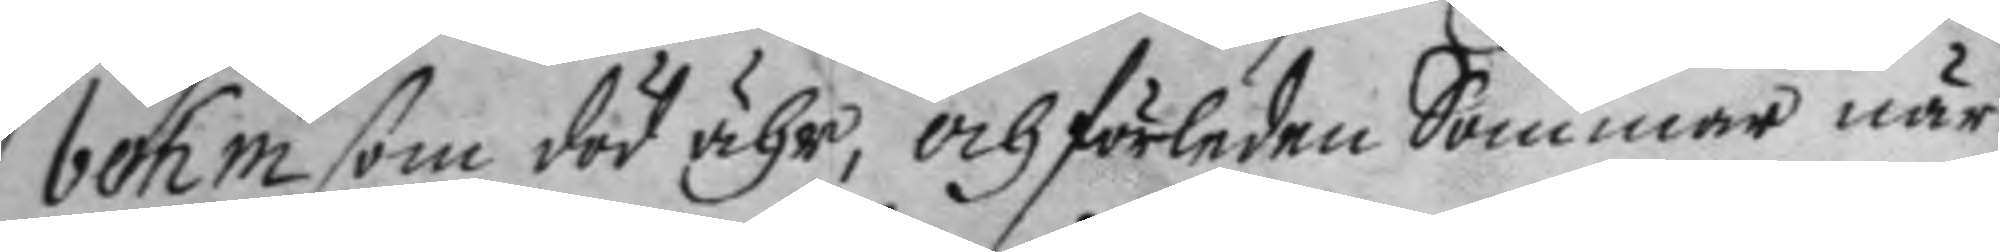bohm som död ähr, och förledne Sommar när
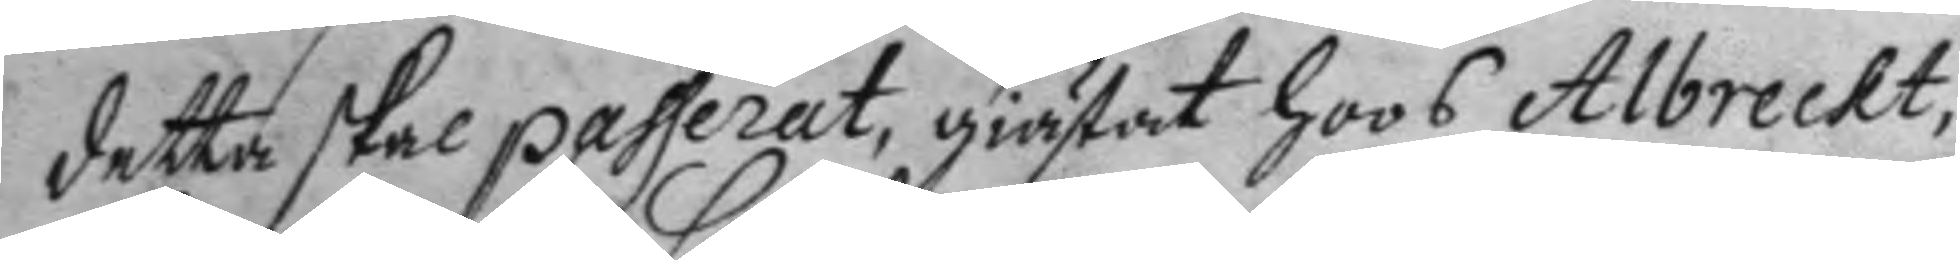detta skal passerat, giästat hoos Albreckt,
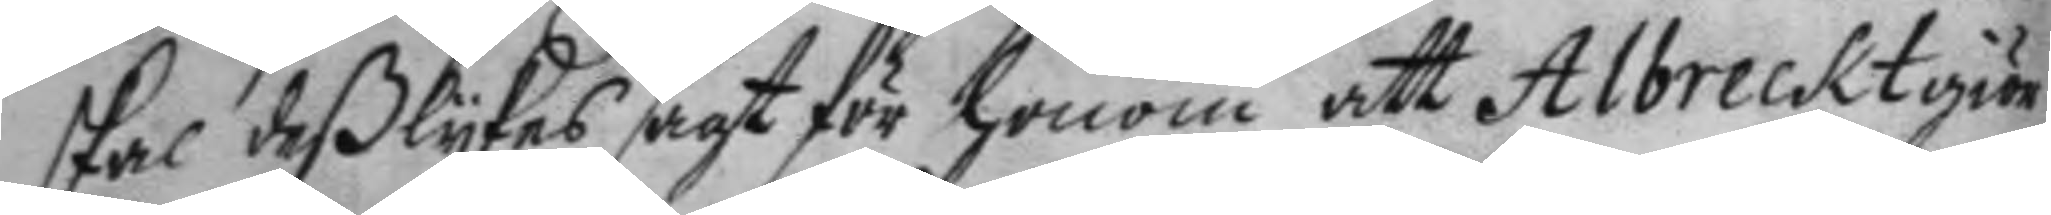skal deßlykes sagt för honom att Albreckt giör
